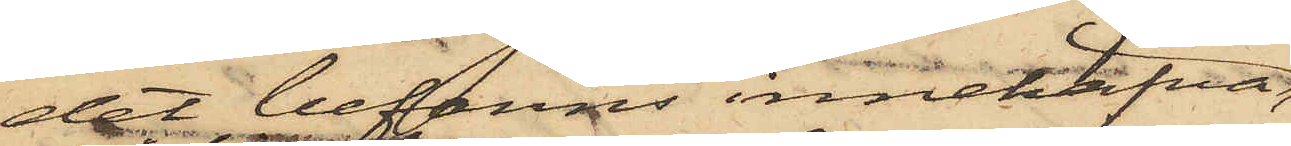det befanns innehafva,
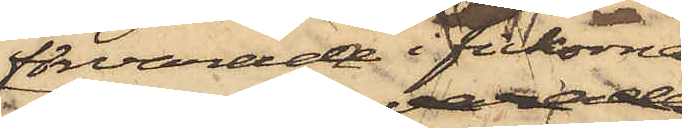förvarande i fickorna
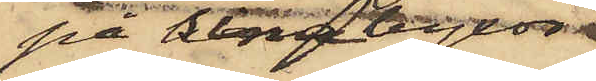på sina byxor
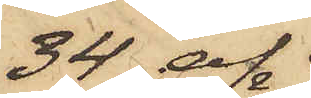34 af
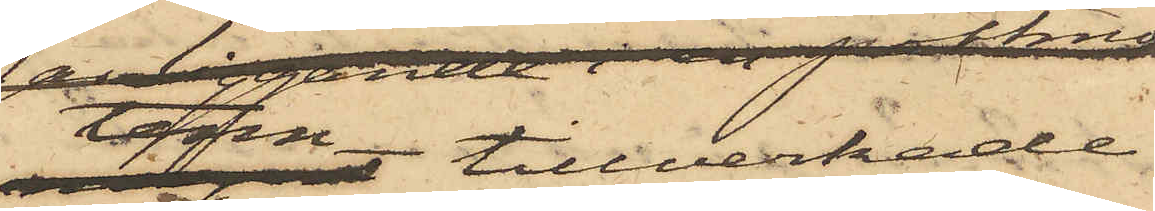tenn tillverkade
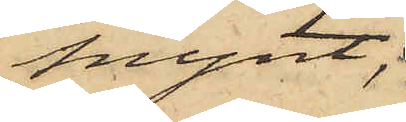mynt;
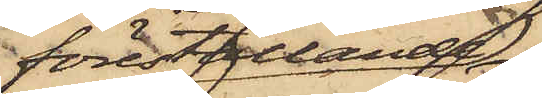föreställande
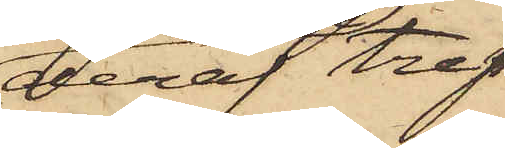deraf tre
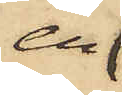en
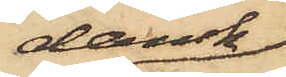dansk
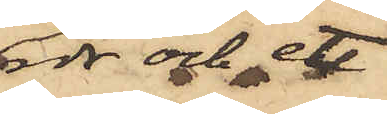rdr och ett
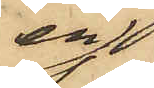en
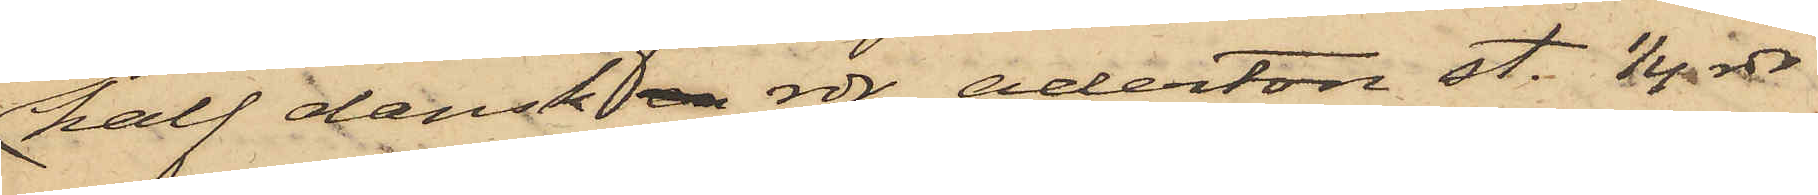half dansk en rdr, aderton st. 1/4 rdr
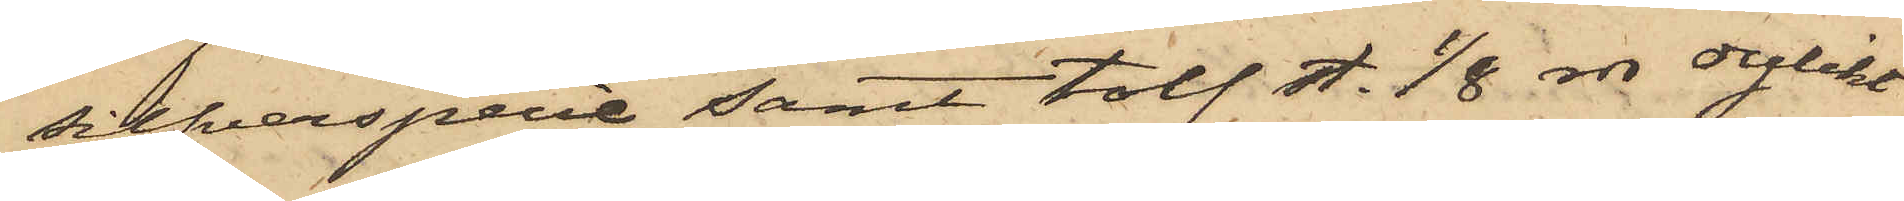silfverspecie samt tolf st. 1/8 rdr dylikt
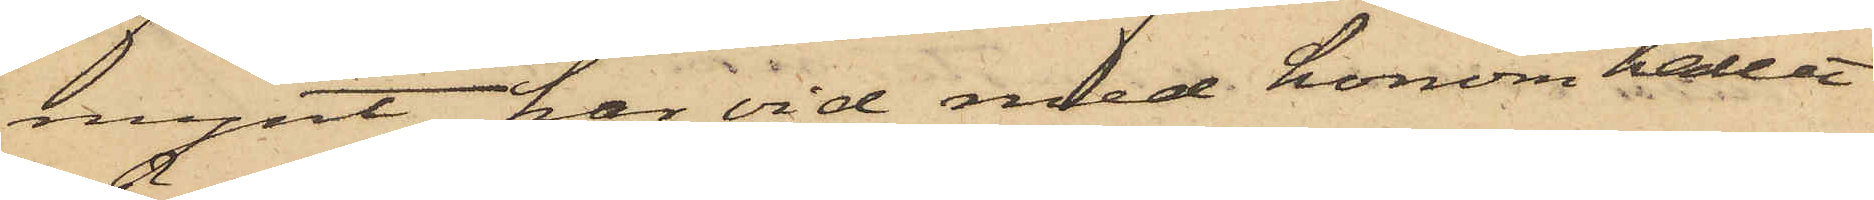mynt, har vid med honom hållit
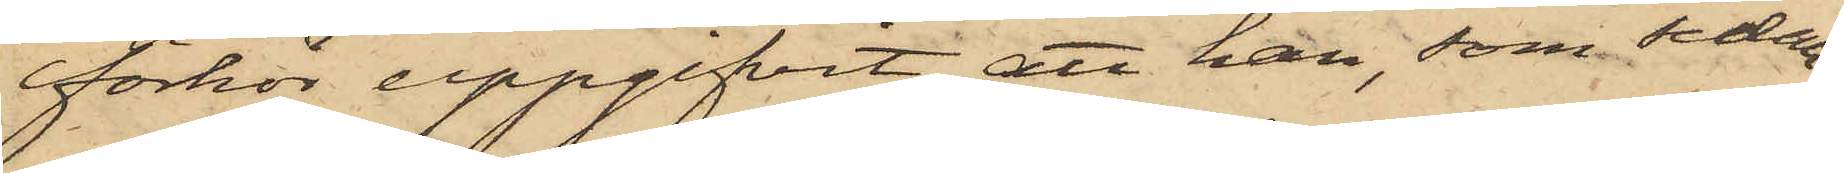förhör uppgifvit, att han, som sedan
